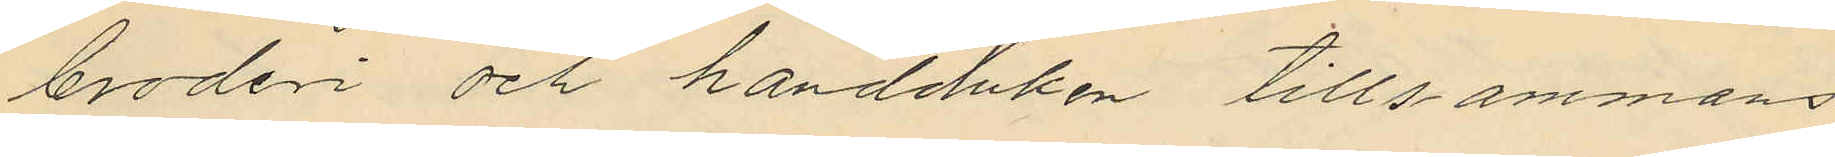broderi och handduken tillsammans
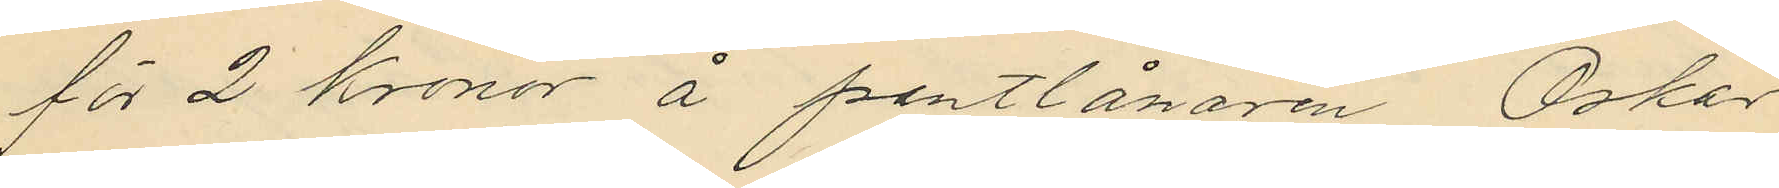för 2 Kronor å pantlånaren Oskar
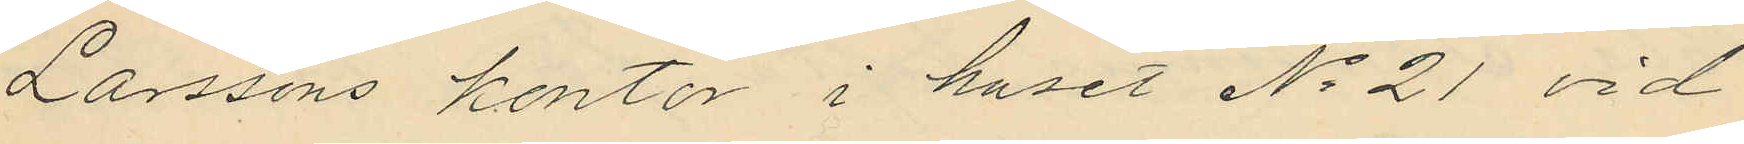Larssons kontor i huset No 21 vid
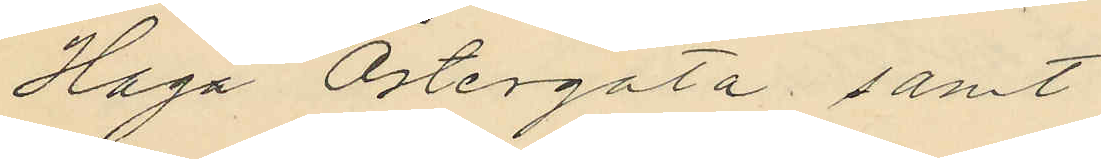Haga Östergata samt
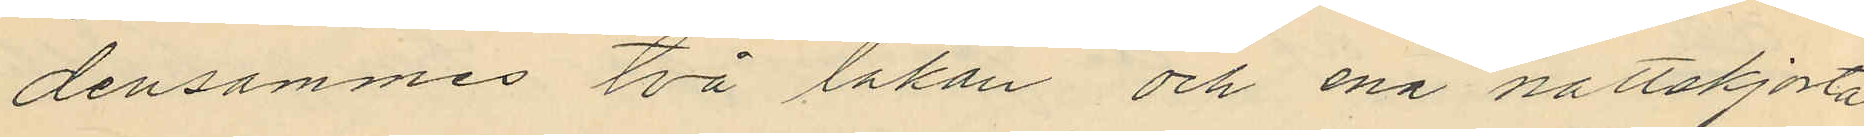densammes två lakan och ena nattskjorta
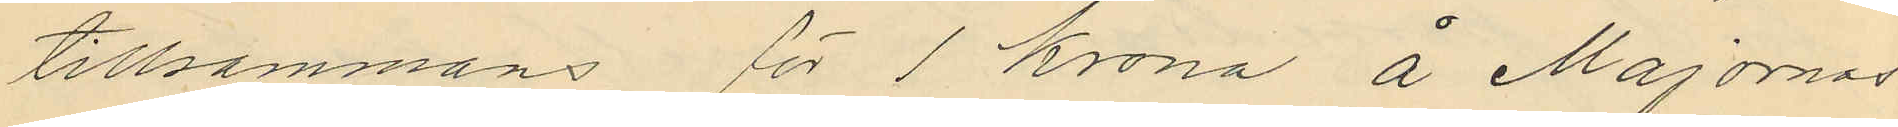tillsammans för 1 krona å Majornas
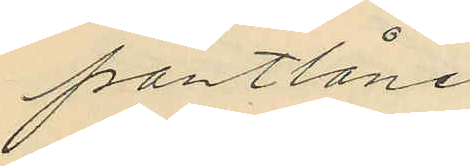pantlåne¬
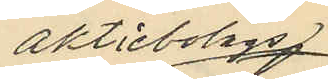aktiebolags
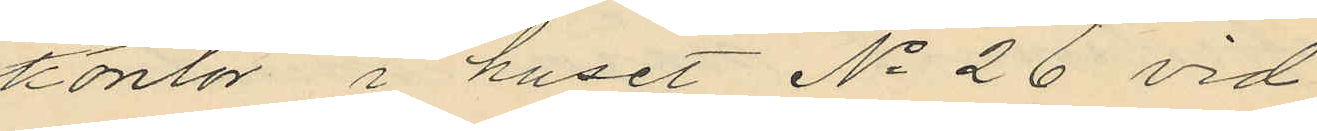kontor i huset No 26 vid
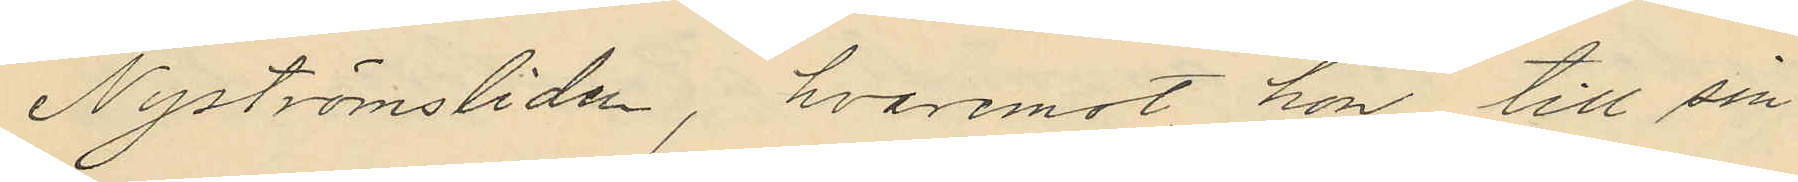Nyströmsliden, hvaremot hon till sin
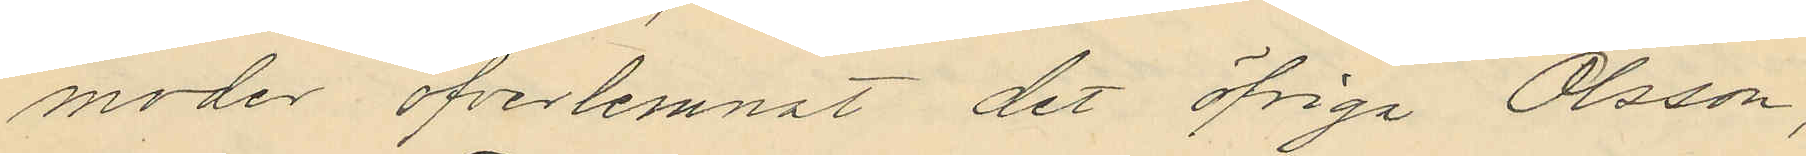moder öfverlemnat det öfriga Olsson,
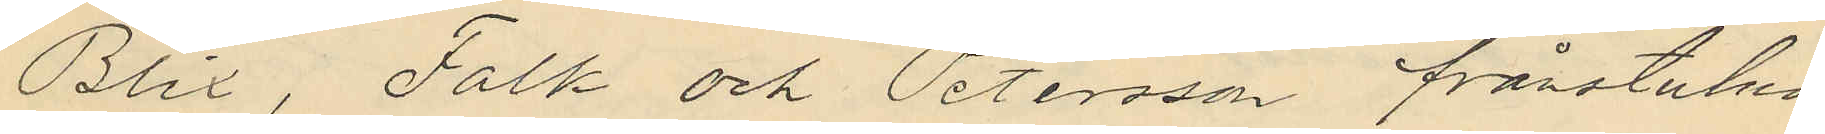Blix, Falk och Petersson frånstulna
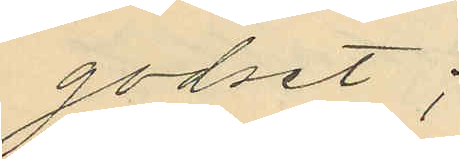godset;
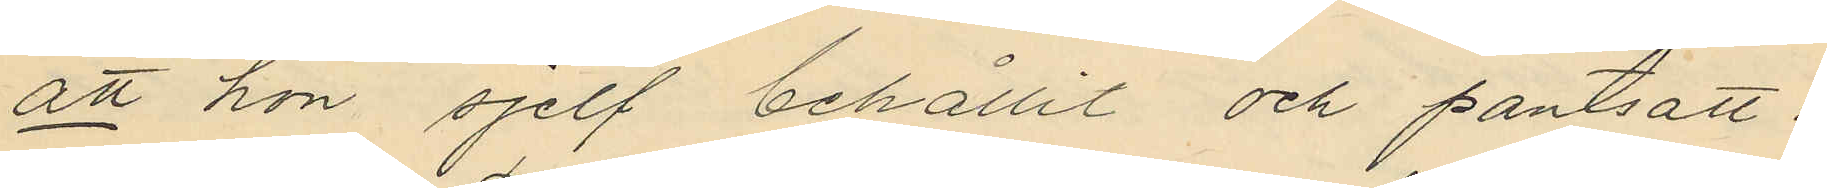att hon sjelf behållit och pantsatt:
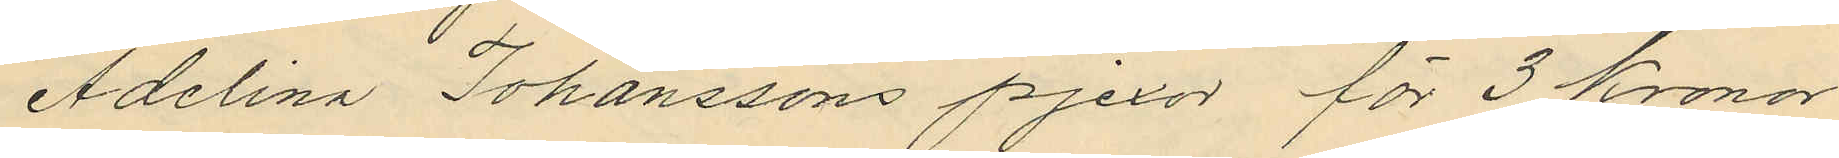Adelina Johanssons pjexor för 3 Kronor
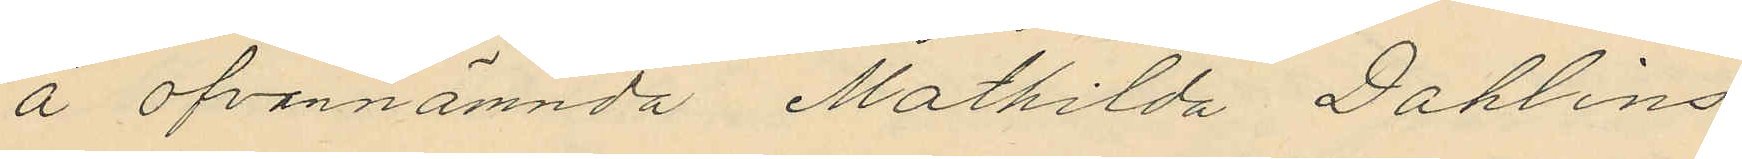å ofvannämnda Mathilda Dahlins
